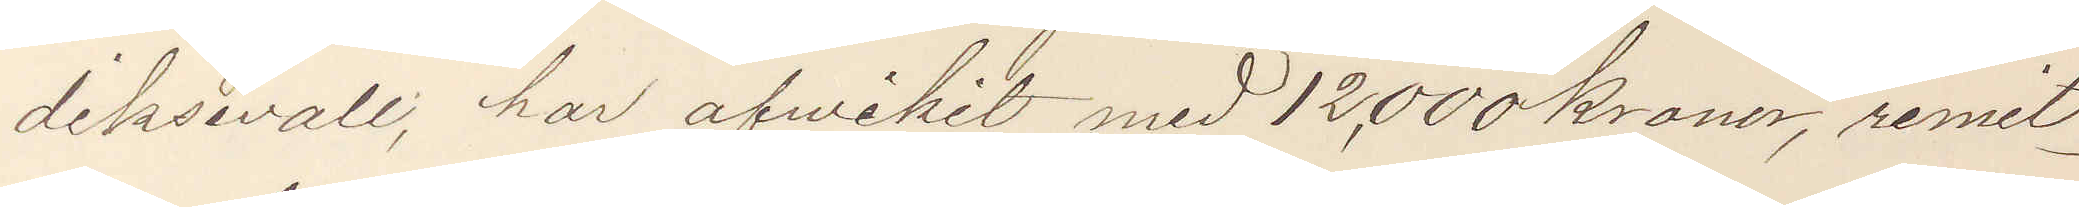diksvall, har afvikit med 12,000 kronor, remit¬
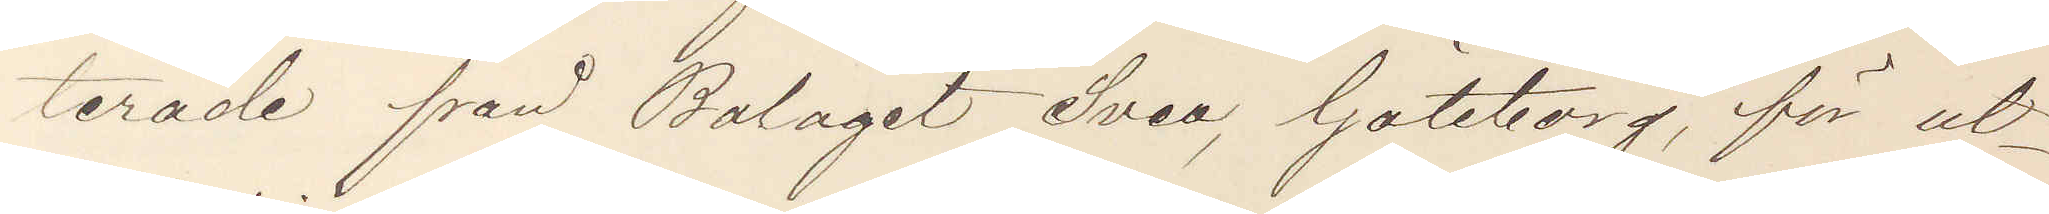terade från Bolaget Svea, Göteborg, för ut¬
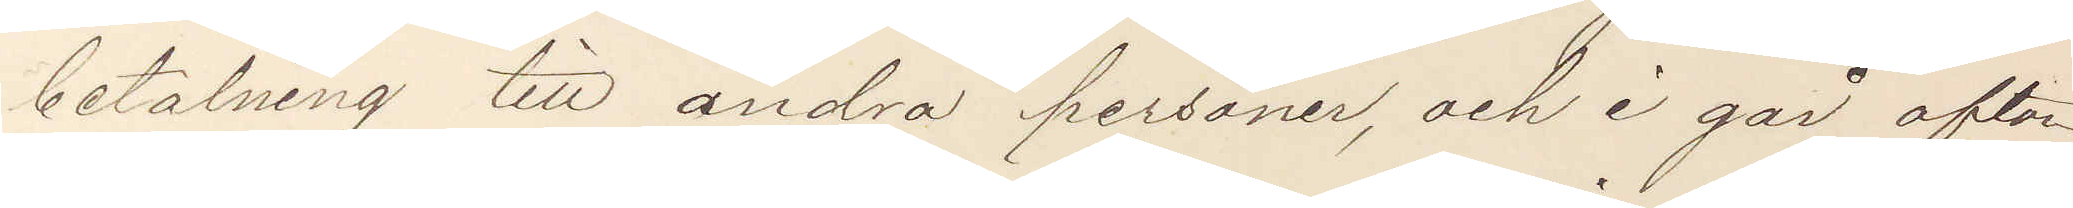betalning till andra personer, och i går afton
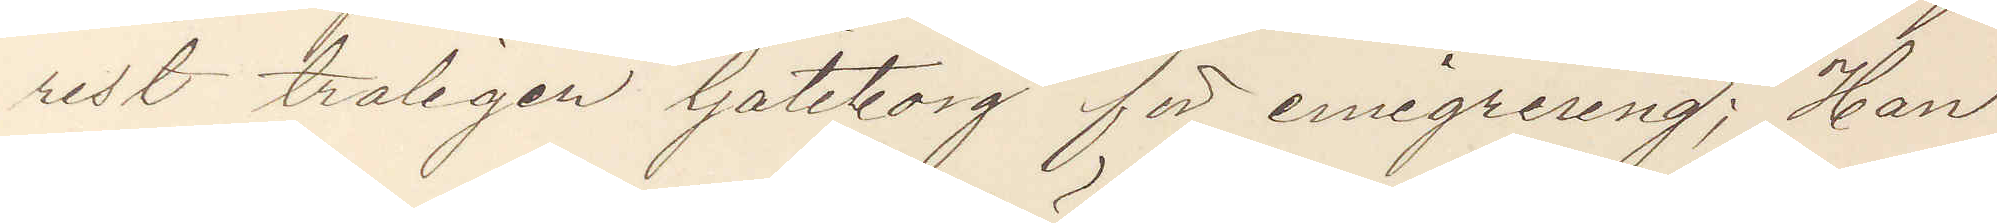rest troligen Göteborg för emigrering; Han
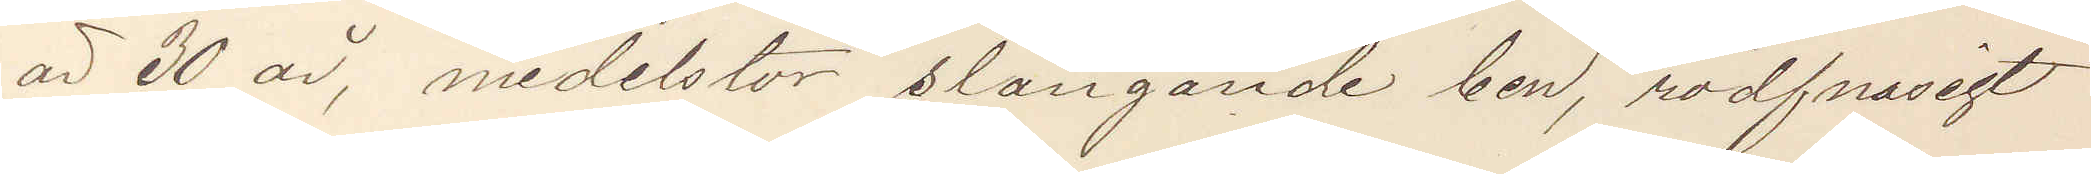ar 30 år, medelstor slängande ben, rödfnasigt
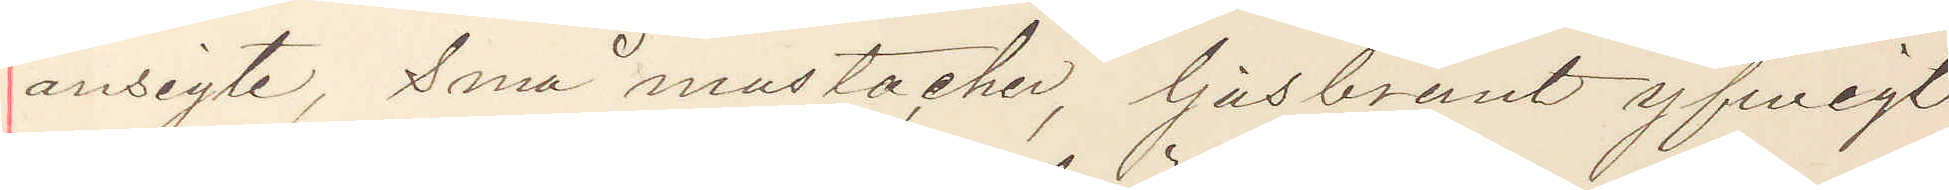ansigte, små mustacher, ljusbrunt yfwigt
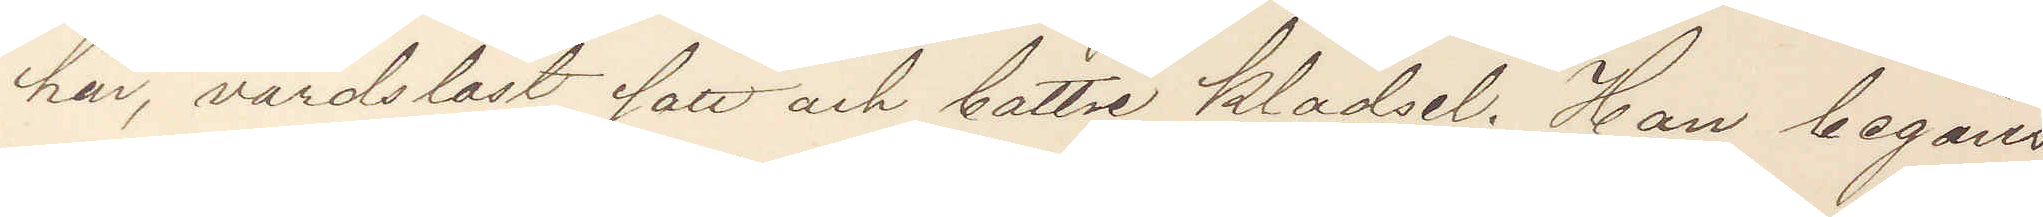hår, vårdslöst sätt och bättre klädsel. Han begäres
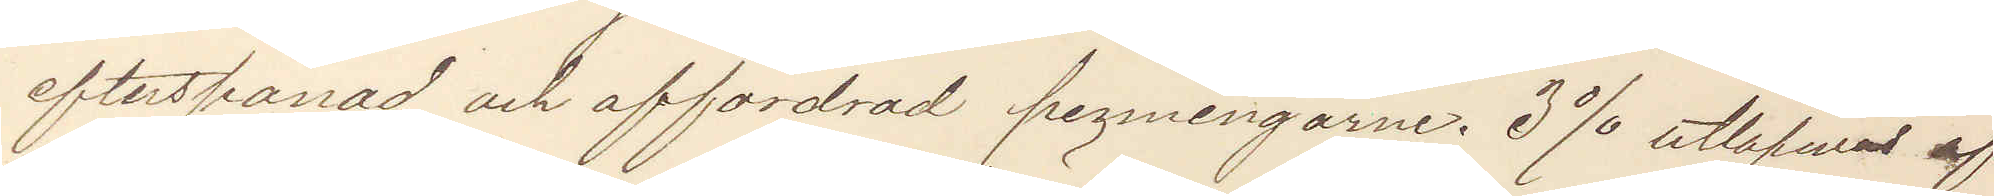efterspanad och affordrad penningarne. 3% utlofvas af
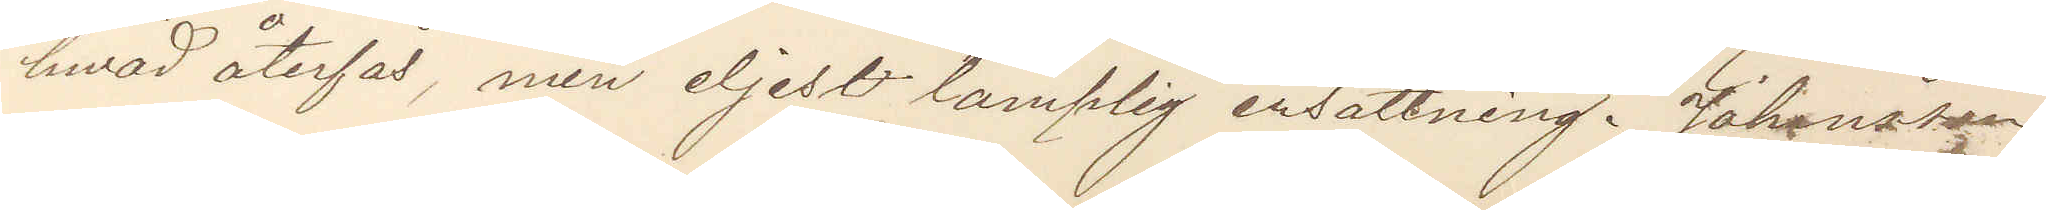hvad återfås men eljest lamplig ersättning. Johansson
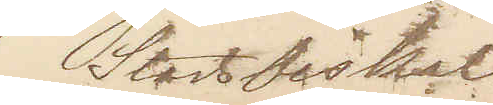Stadsfiskal.
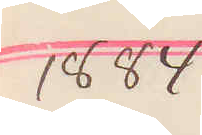1884
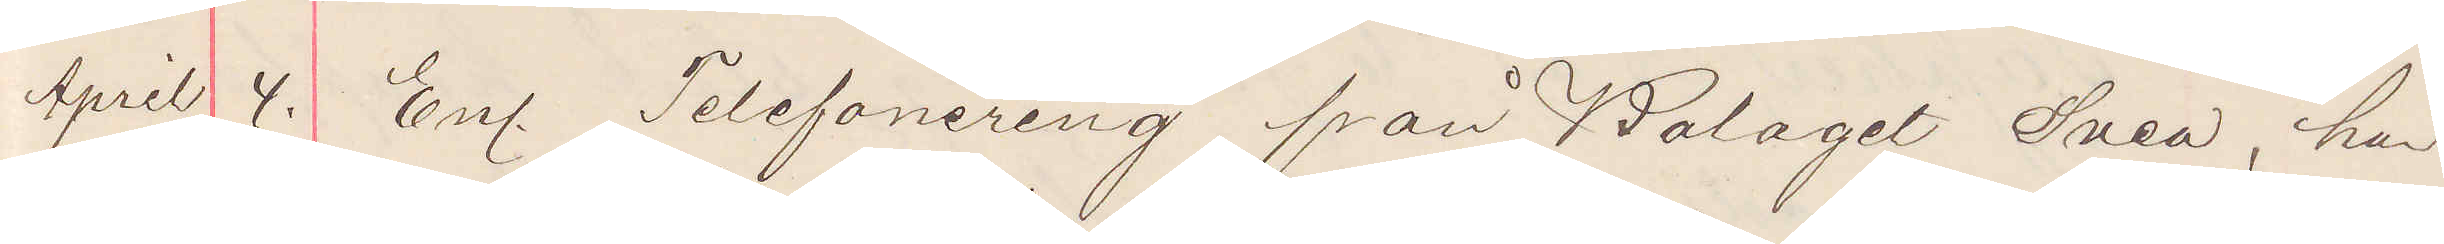April 4. Enl. telefonering från Bolaget Svea, har
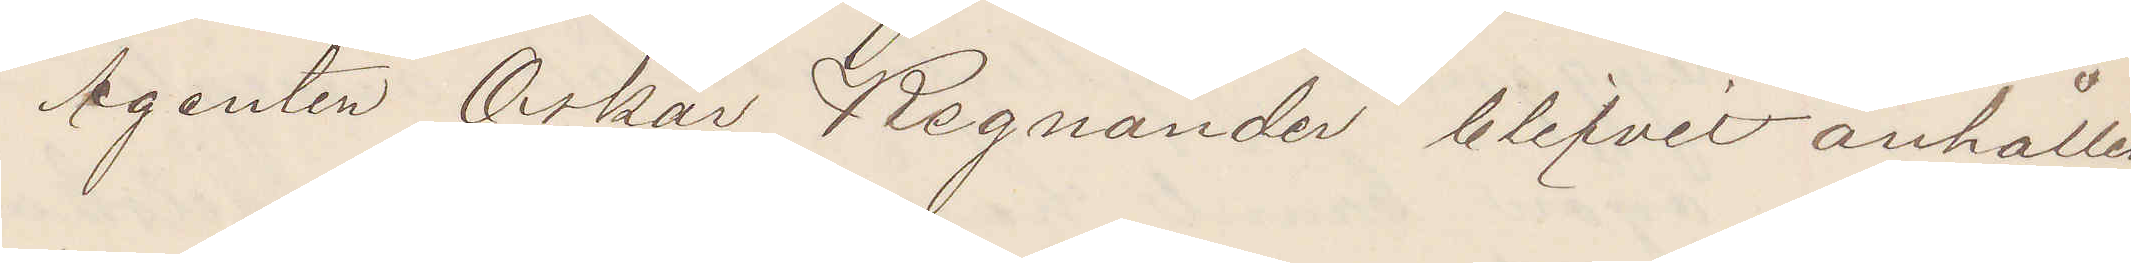Agenten Oskar Regnander blifvit anhållen
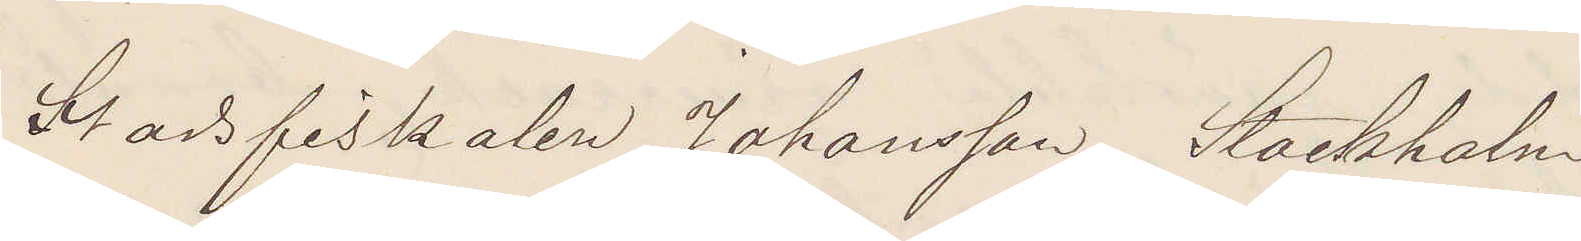Stadsfiskalen Johansson Stockholm.
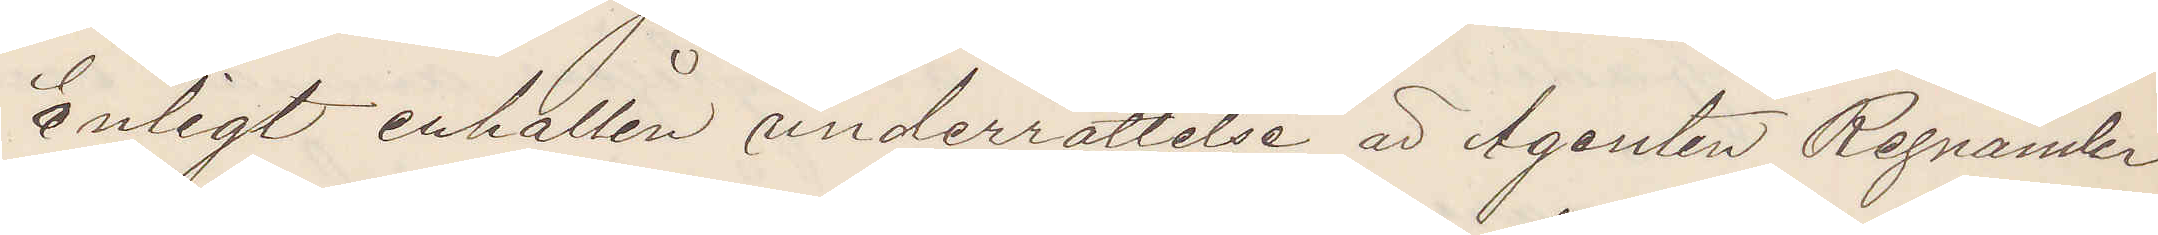Enligt erhållen underrättelse är Agenten Regnander
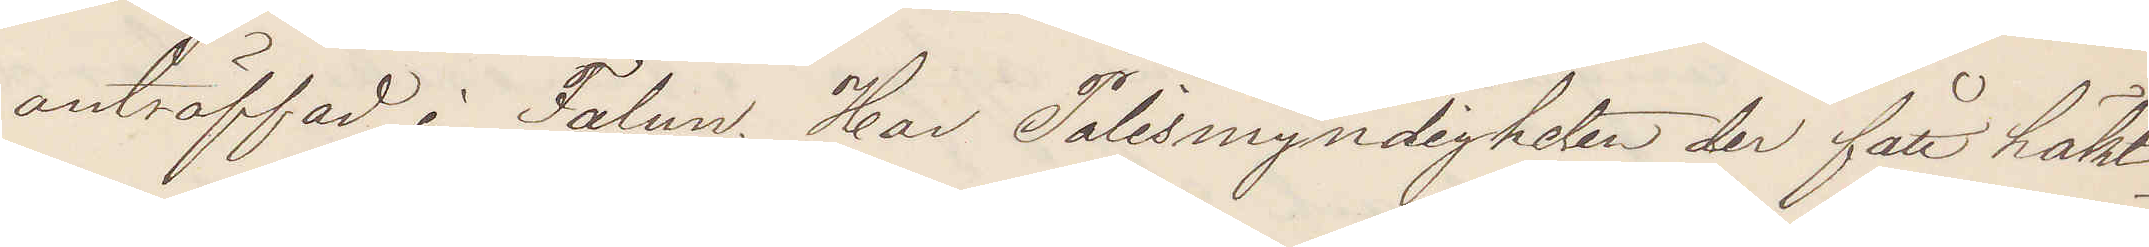anträffad i Falun. Har Polismyndigheten der fått häkt¬
